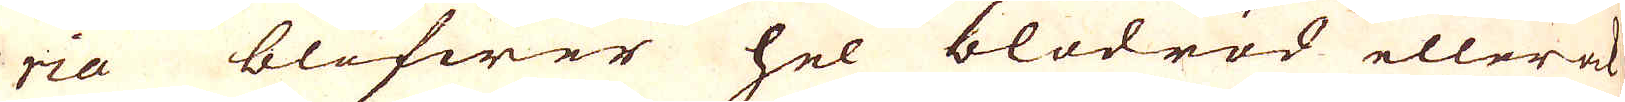ria blifwer hel blodröd eller ok
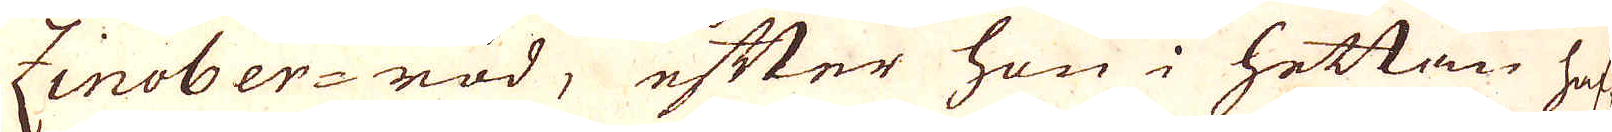Zinober-röd, efter hon i hettan haf-
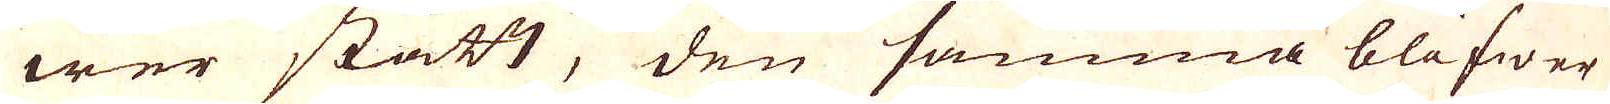wer stått, den samma blifwer
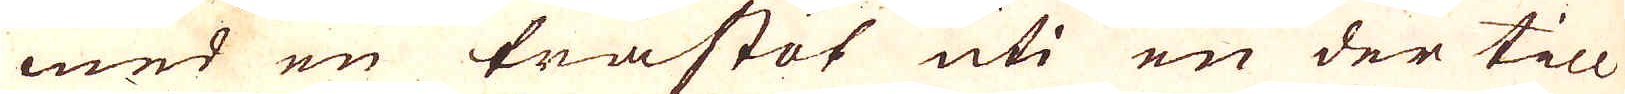med en trästöt uti en der till
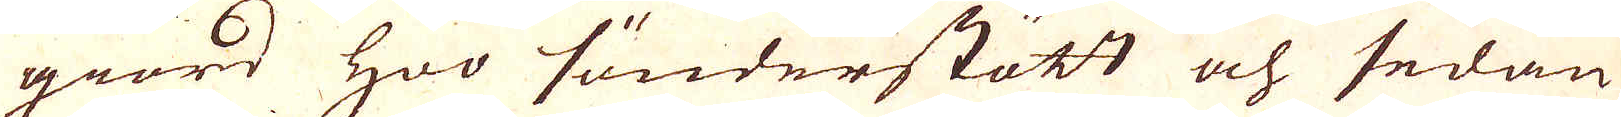giord hoo sönder stött och sedan
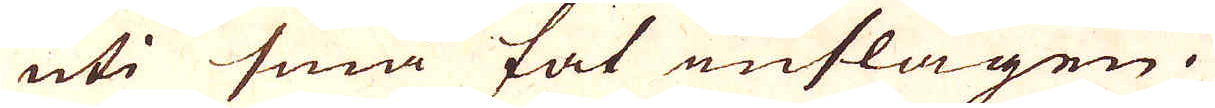uti små fat inslagen.
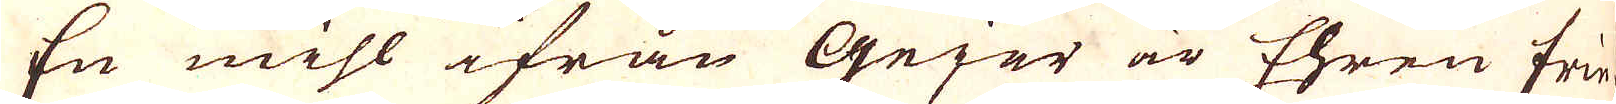En mihl ifrån Gejer är Ehren frie
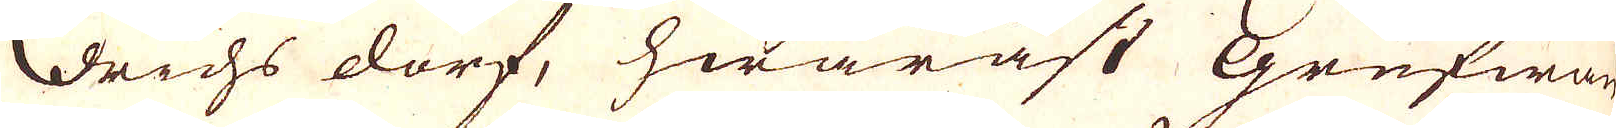drichs dorf, hwaräst Grufwan
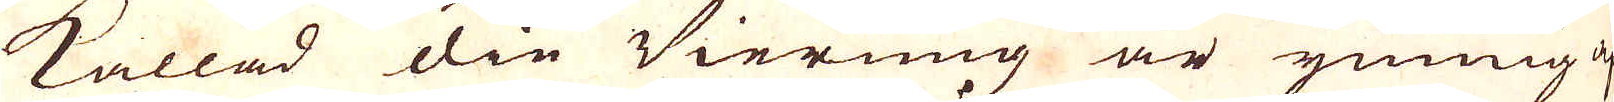kallad die Vierung är ymnig af
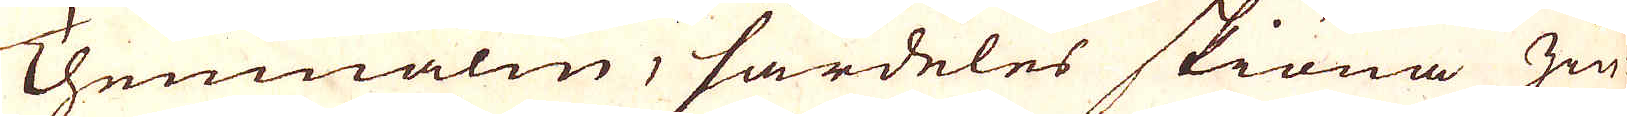Themmalm, särdeles skiöna zin-
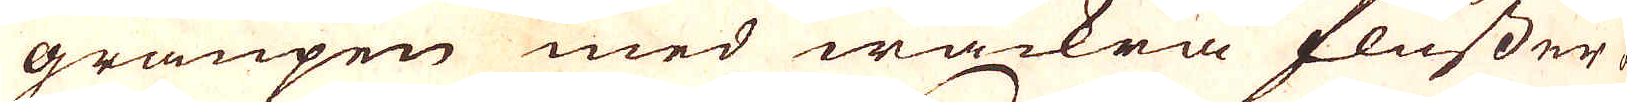graupen med wackra flusser och
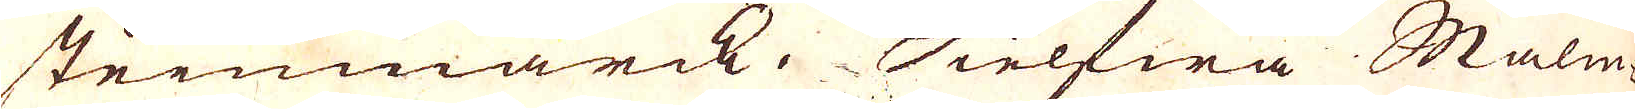steinwärck. Sielfwa Malm,
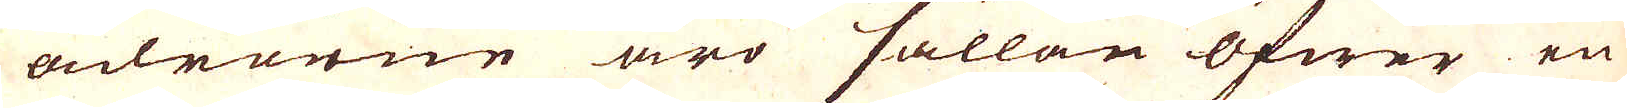ådrarne äro sällan öfwer en
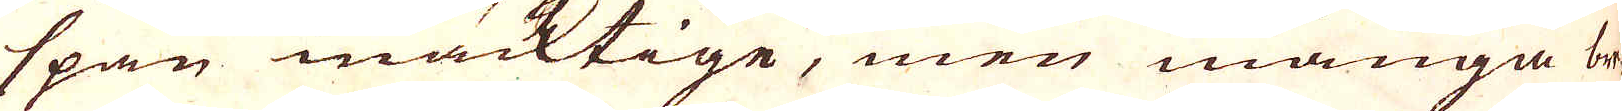span mäcktige, men många bre-
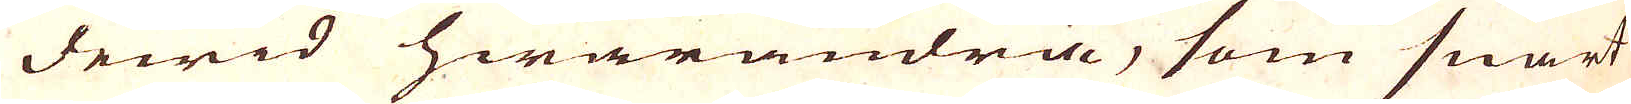dewid hwarandra, som snart
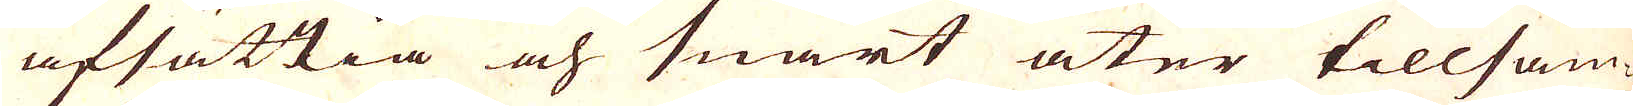afsättia och snart åter tillsam-
